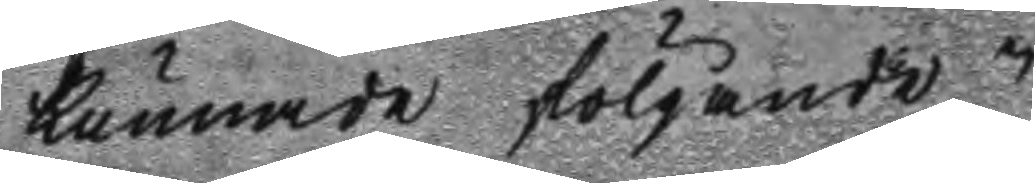kunnade följande.
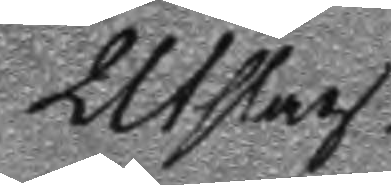Utslag.
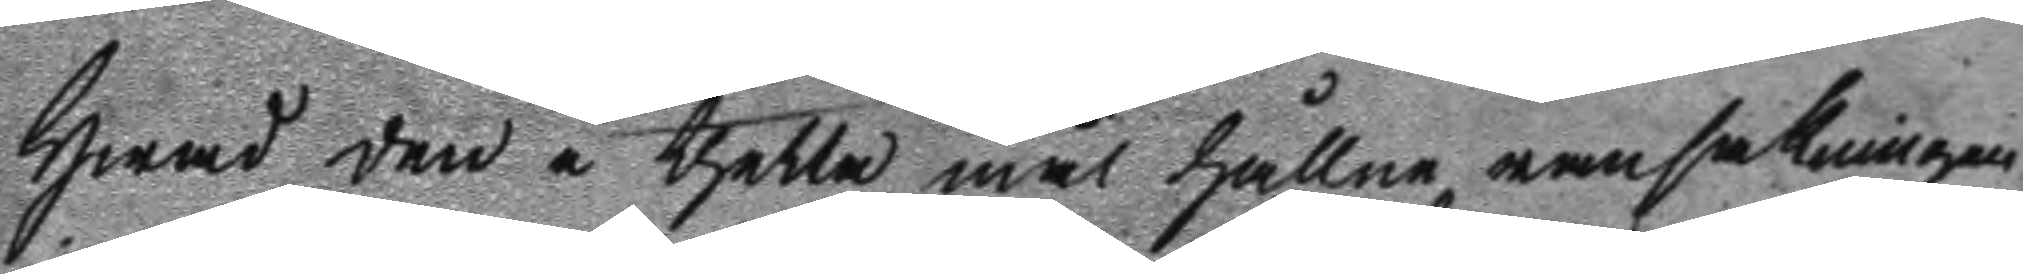Hwad den i thetta mål hållne ransakningen
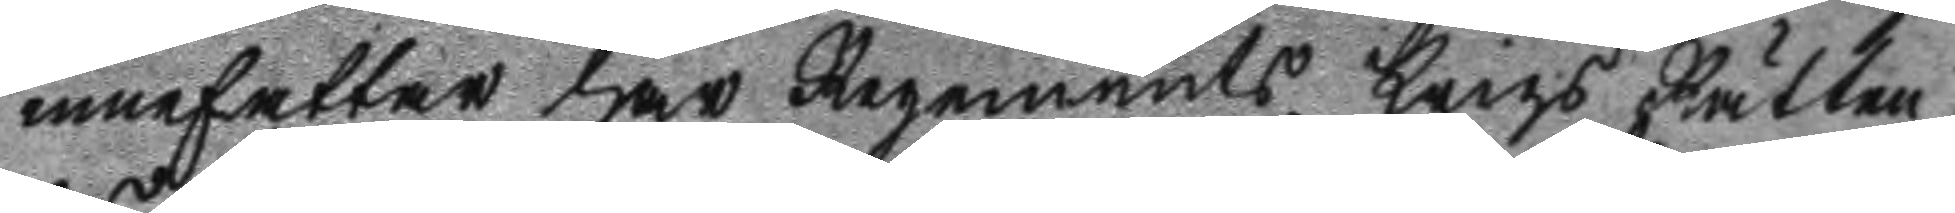innefatter har Regements Krigs Rätten
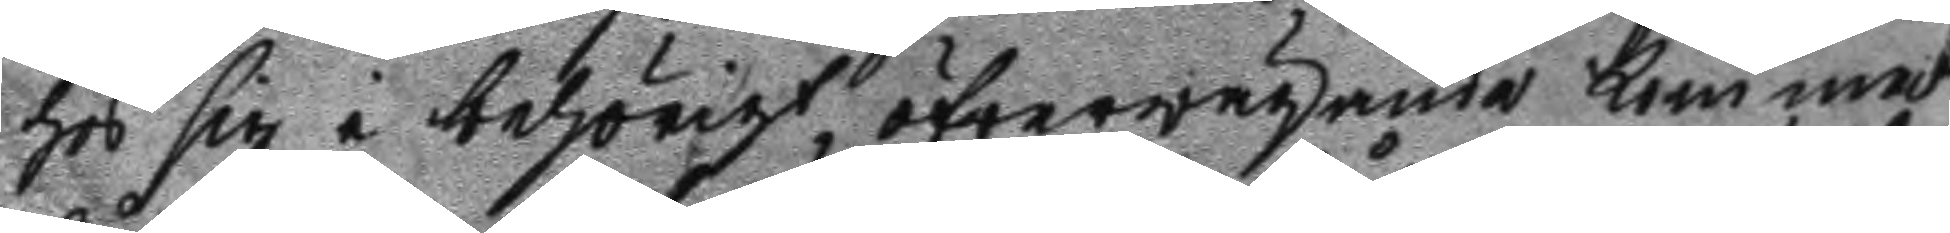hos sig i behörigt, öfwerwägande kommit
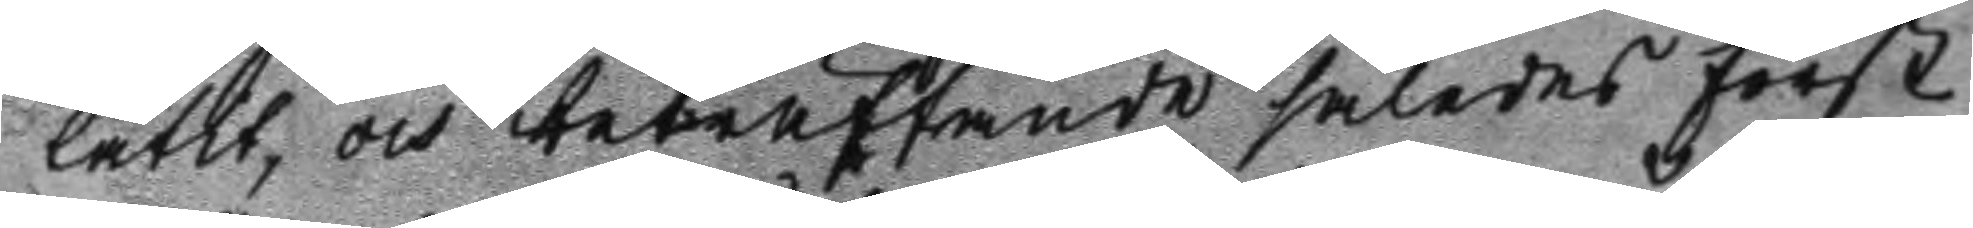låtit och beträffande således först
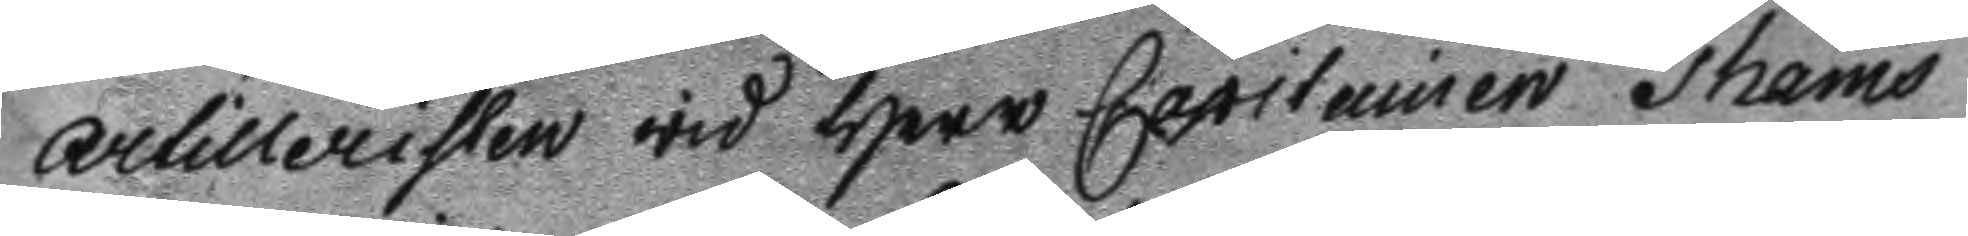artilleristen wid Herr Capitainen Thams
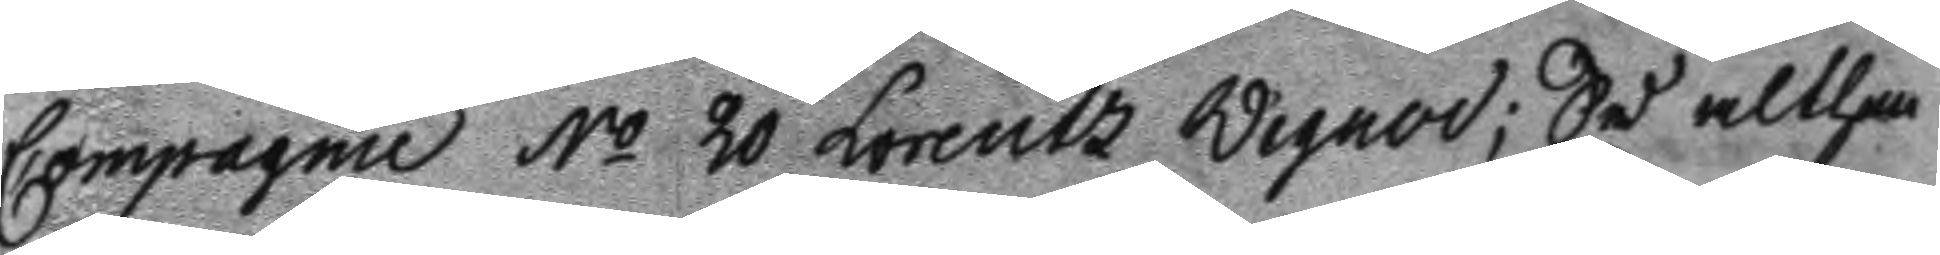Compagnie No 20 Lorentz Wegner; Så althen 
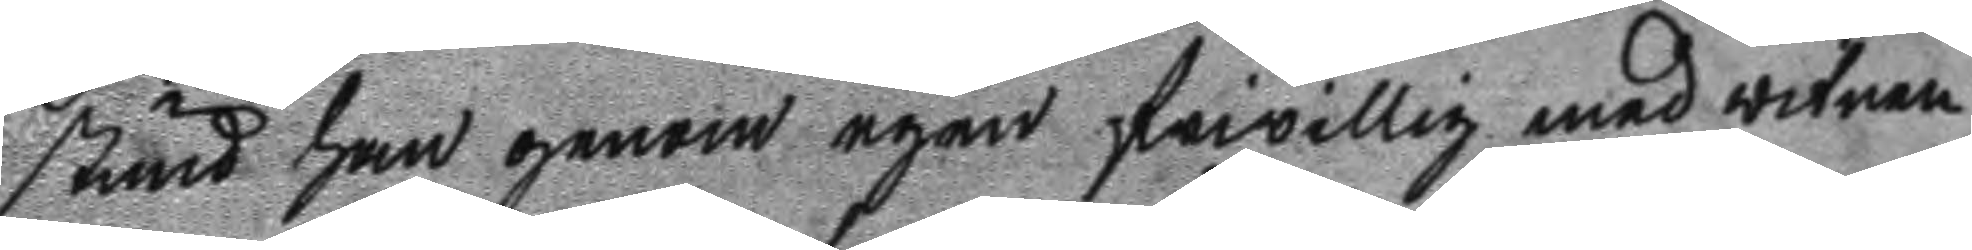stund han genom egen frivillig med witnen
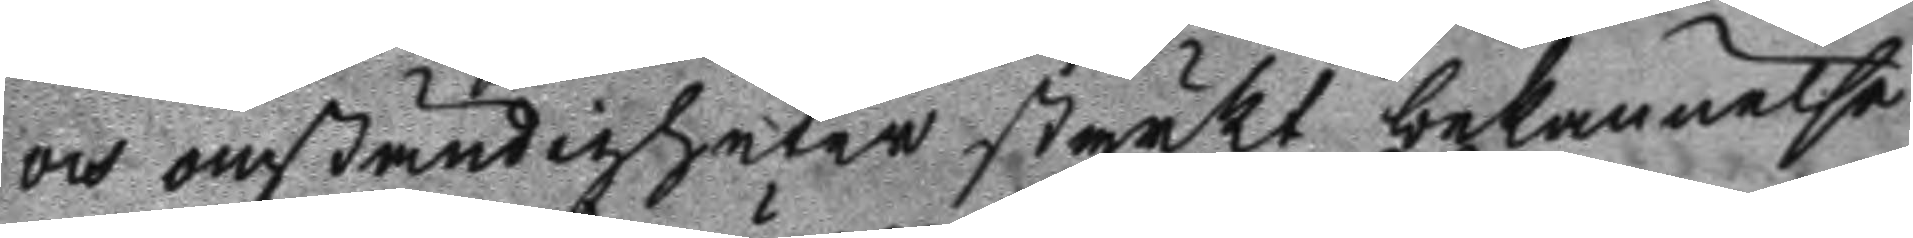och omständigheter styrkt bekännelse
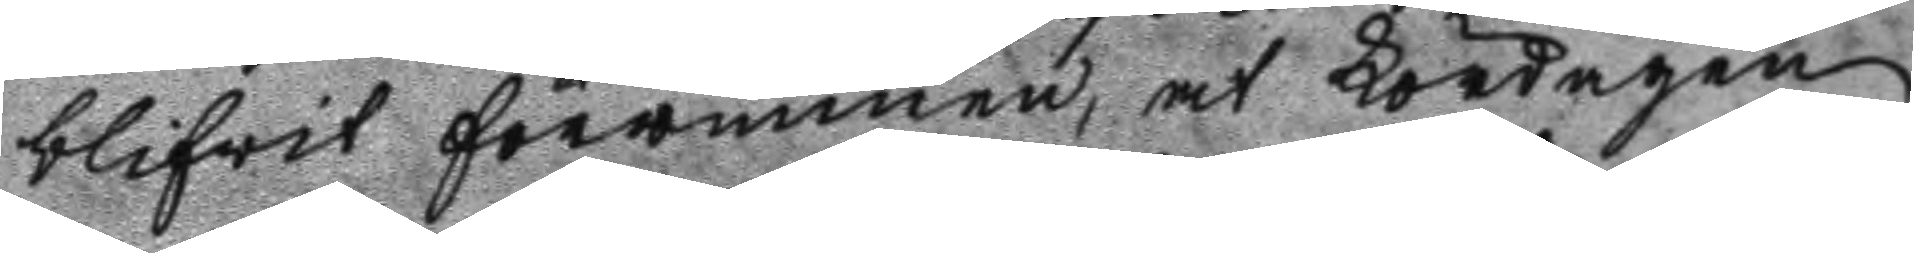blifwit förwunnen, at Lördagen
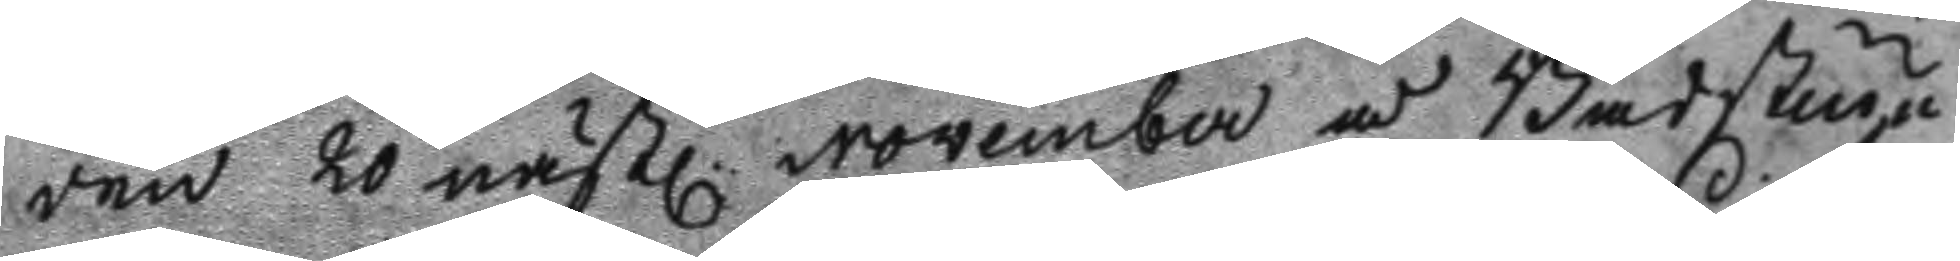den 20 nästl. November å Badstugu¬ 
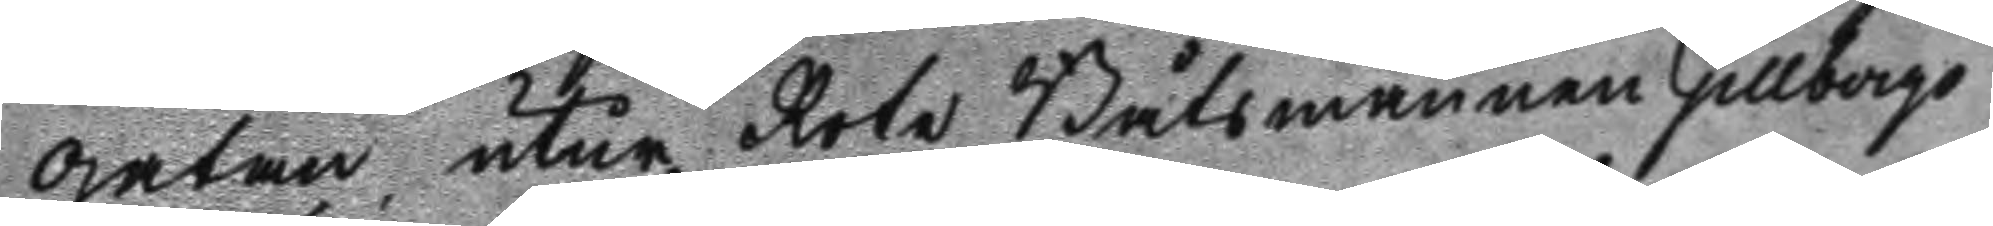gatan utur Rote Båtsmannen Gillbergs
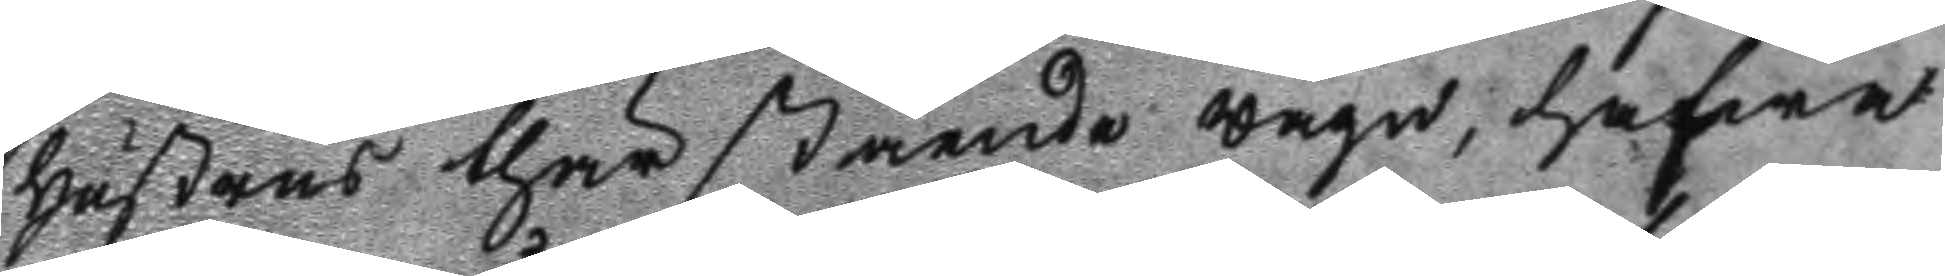Hustrus thär stående wagn, hafwa
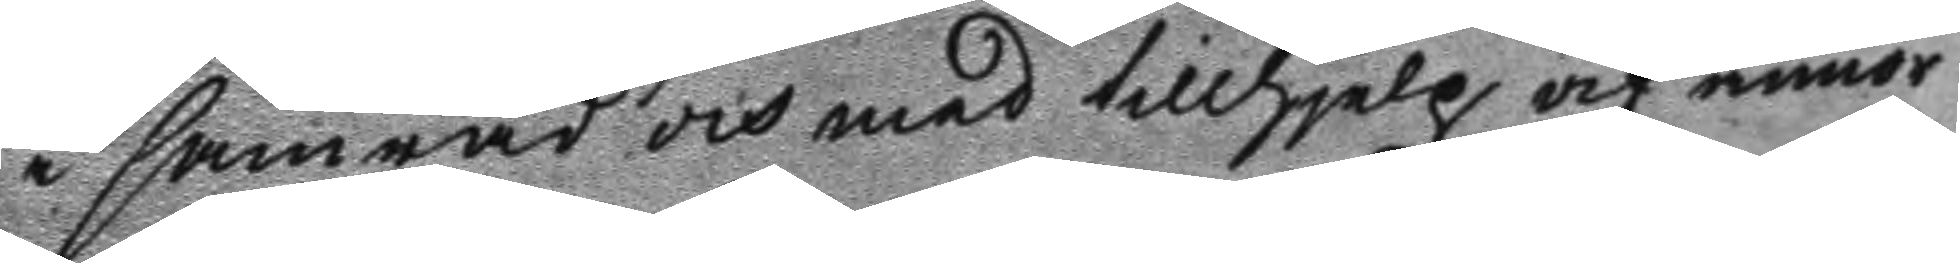i samråd och med tillhjelp af annor
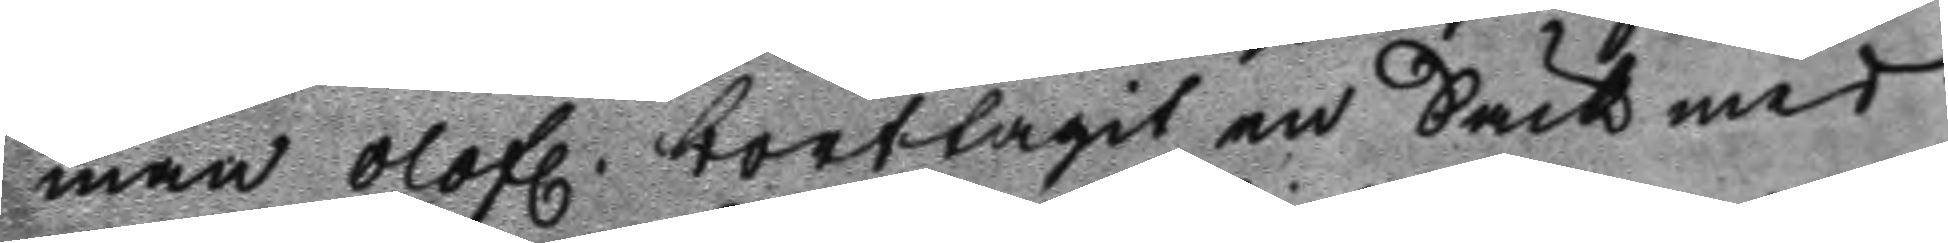man olofl. borttagit en Säck med 
